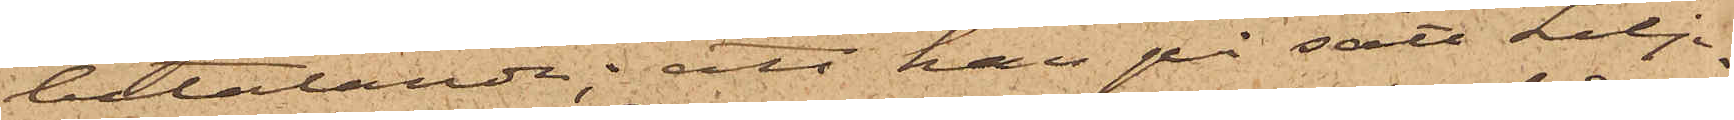betalande; att han på sätt Lilj¬
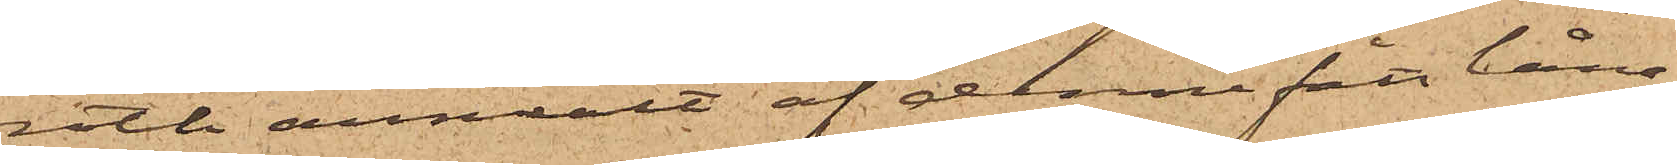roth anmält af denne fått låna
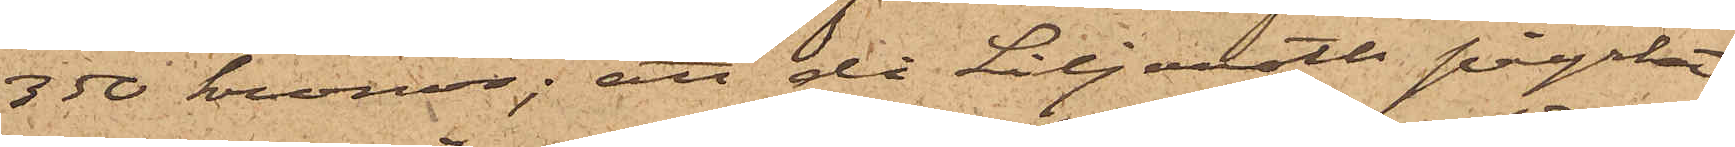350 kronor; att då Liljeroth påyrkat
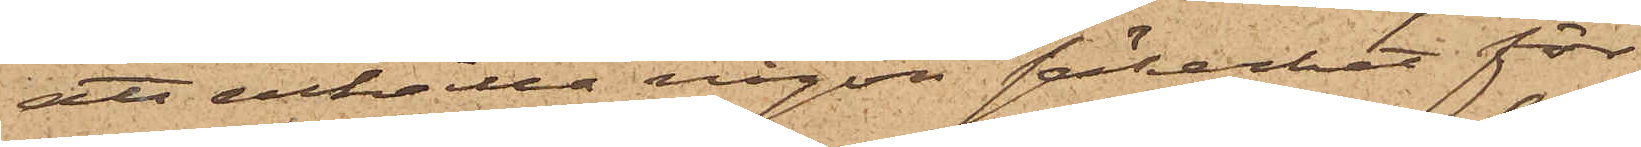att erhålla någon säkerhet för
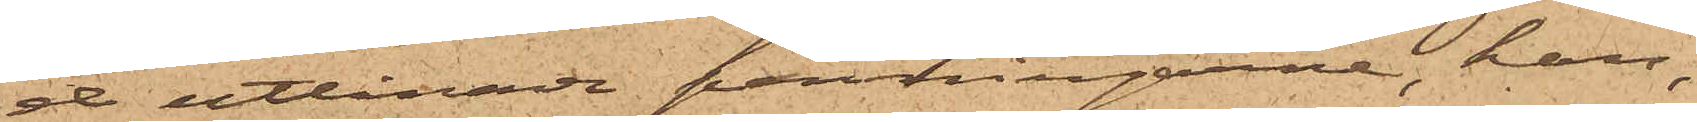de utlånade penningarne, han,
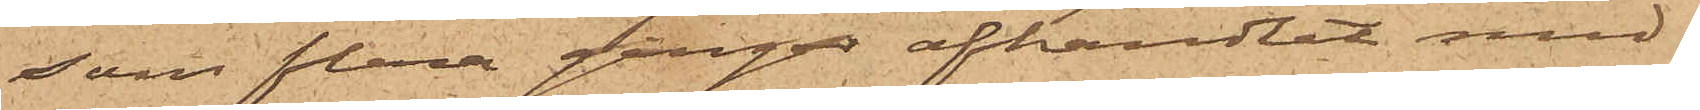som flera gånger afhandlat med
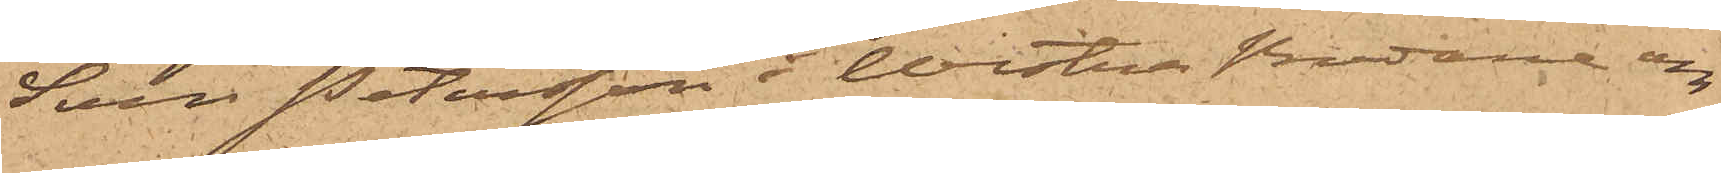Sven Petersson i Westra Bodarne om
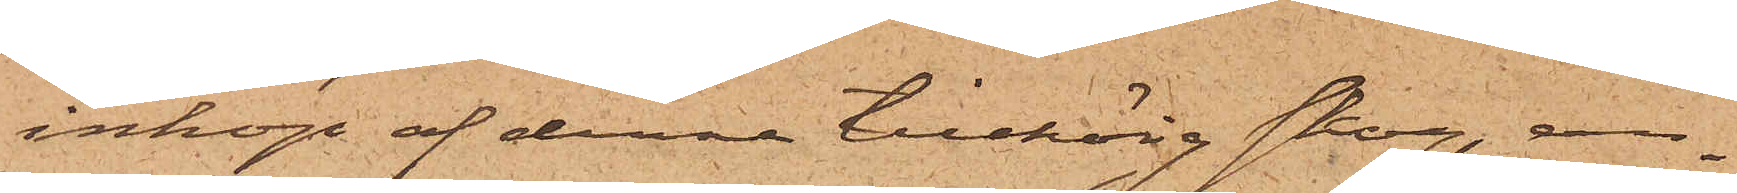inköp af denne tillhörig skog, an¬
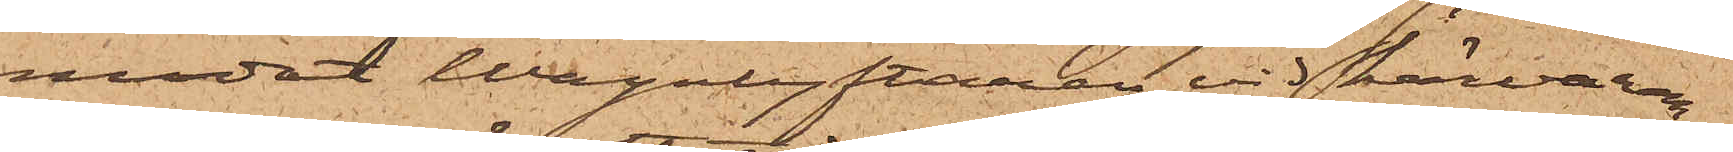modat Wagnlyftaren vid härvaran¬
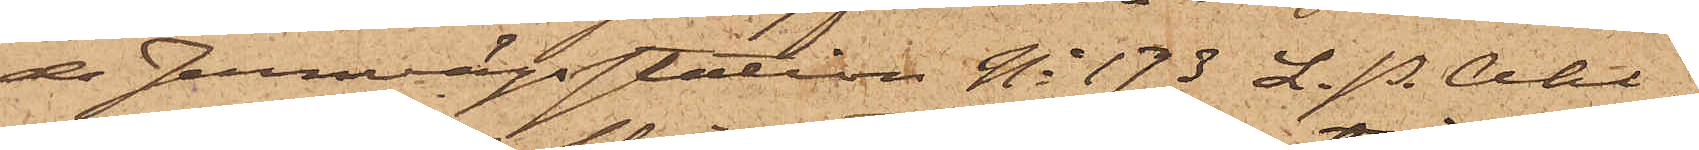de Jernvägsstation No 173 L. P. Ahl¬
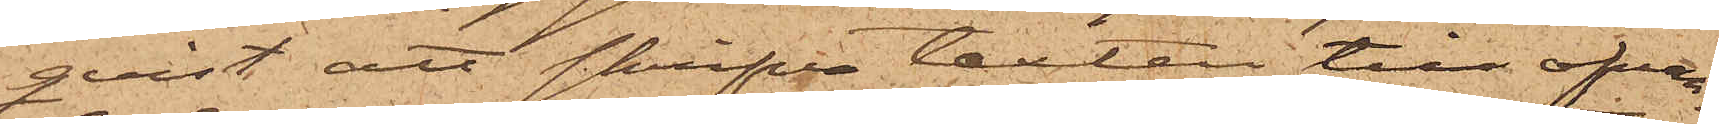quist att skrifva texten till ofvan¬
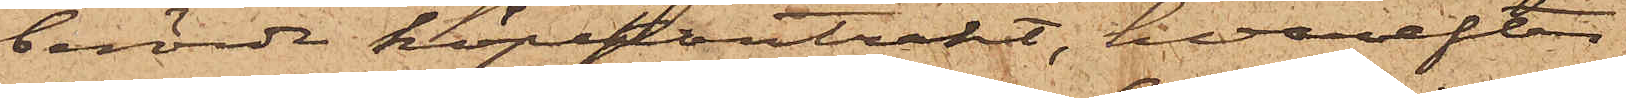berörde köpekontrakt, hvarefter
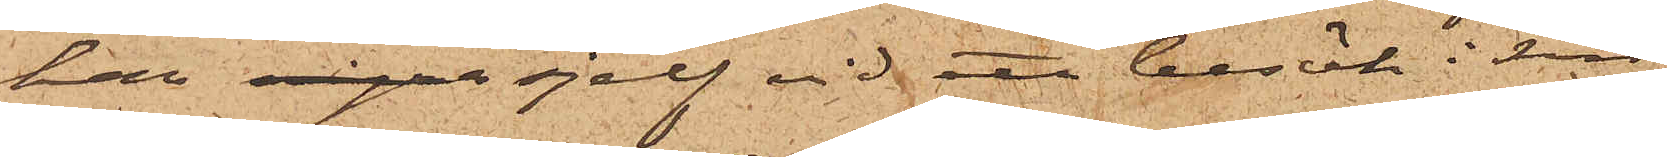han några sjelf vid ett besök i sin
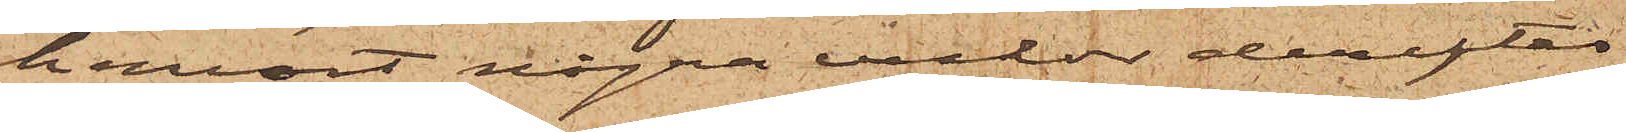hemort några veckor derefter
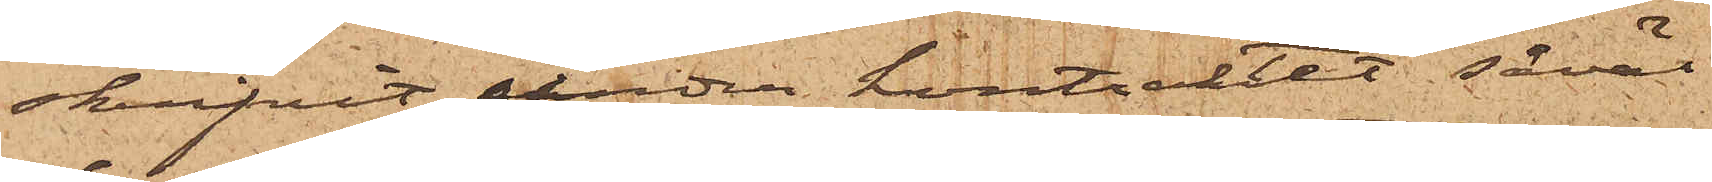skrifvit under kontraktet såväl
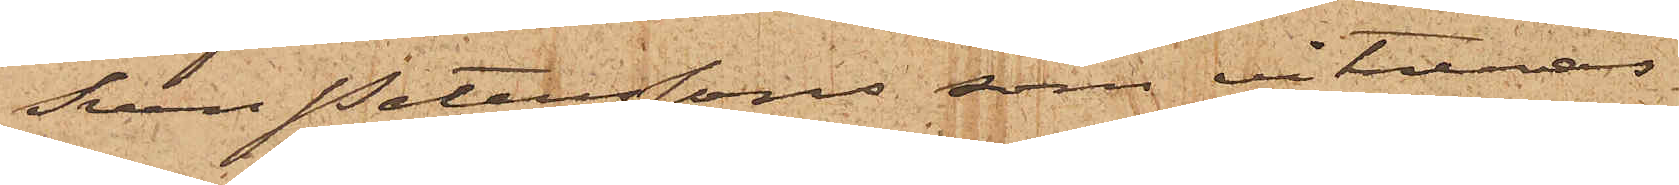Sven Peterssons som vitnenas
